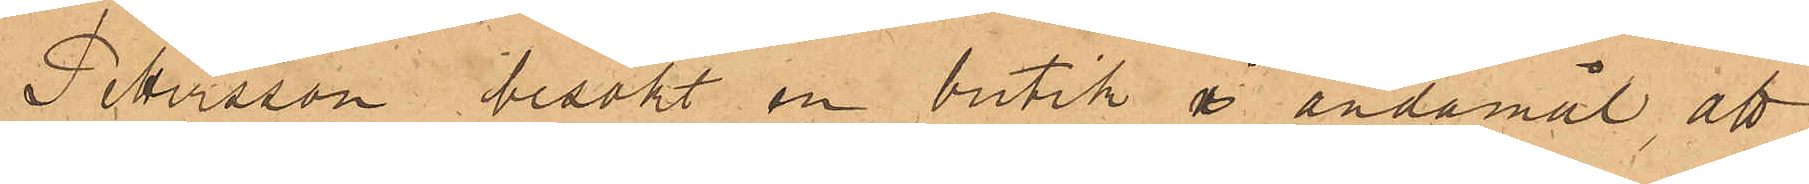Petersson besökt en butik i ändamål att
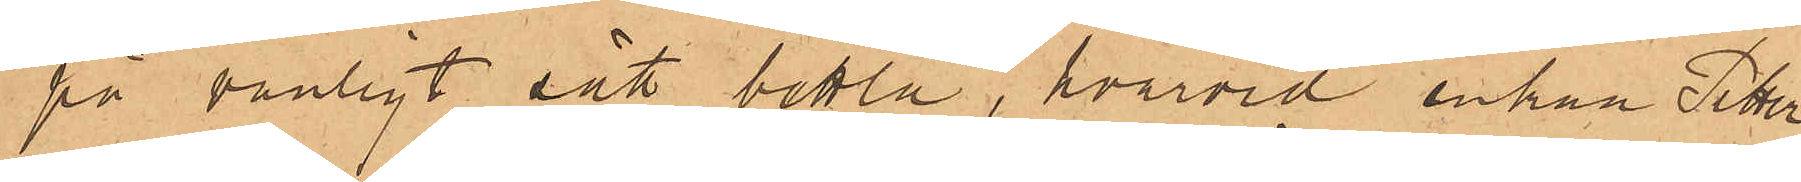på vanligt sätt bettla, hvarvid enkan Peter¬
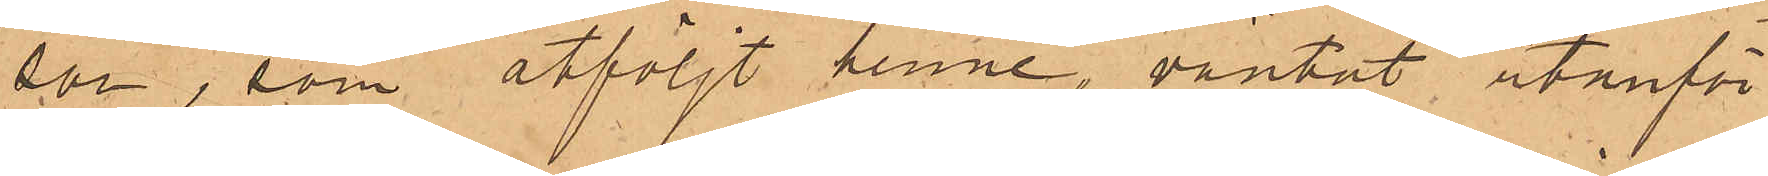son, som åtföljt henne, väntat utanför
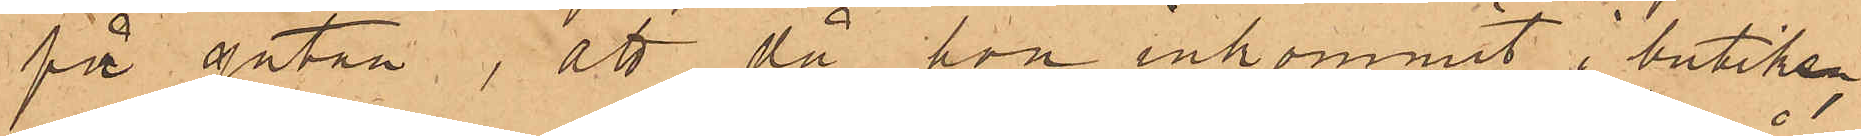på gatan, att då hon inkommit i butik¬
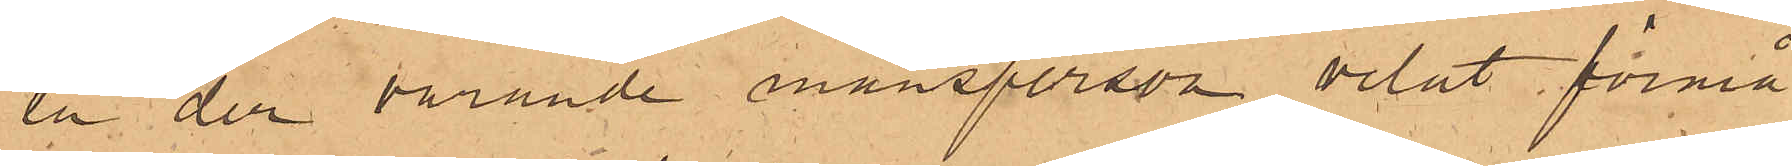en der varande mansperson velat förmå
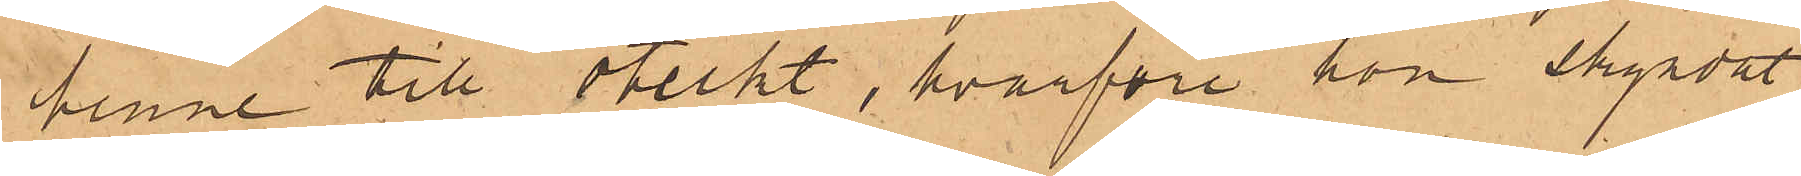henne till otukt, hvarföre hon skyndat
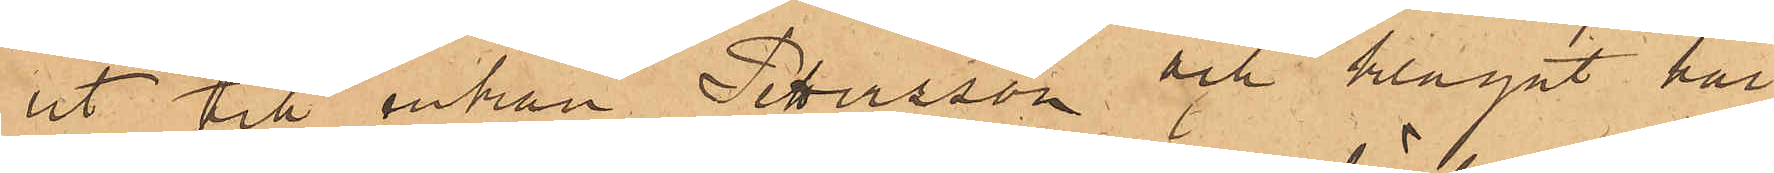ut till Enkan Petersson och klagat här
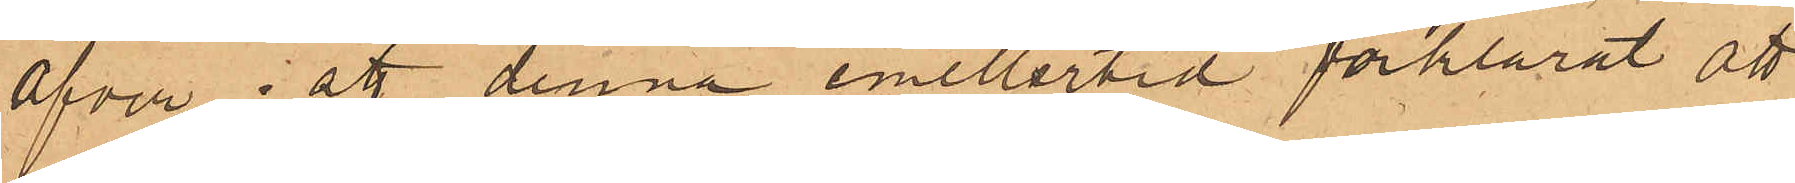Öfver; att denna emellertid förklarat att
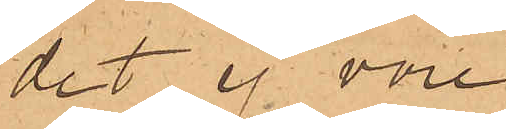det ej vore
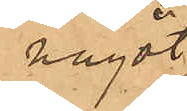något
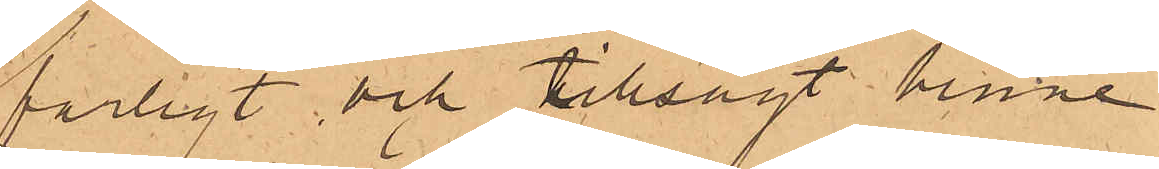farligt, och tillsagt henne
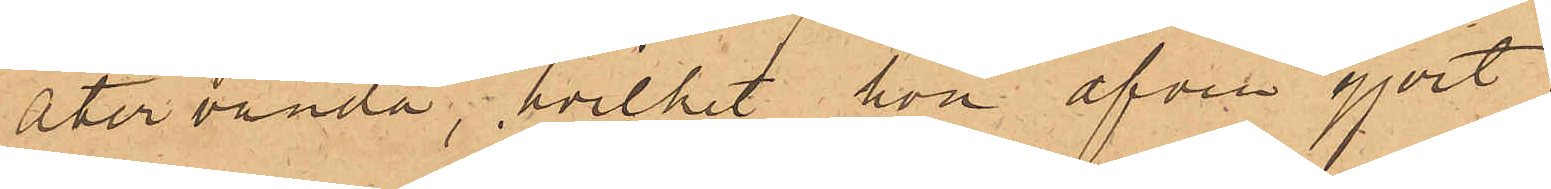återvända, hvilket hon äfven gjort;
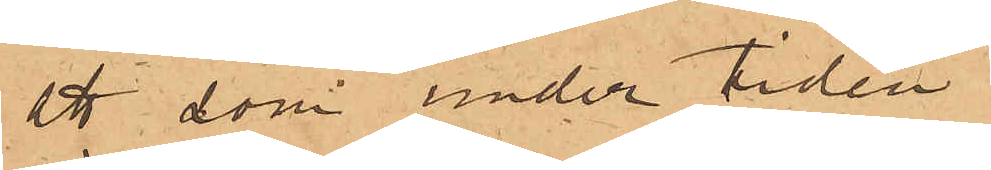att som under tiden
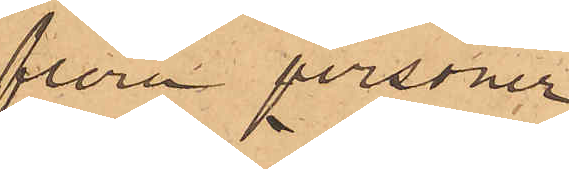flera personer
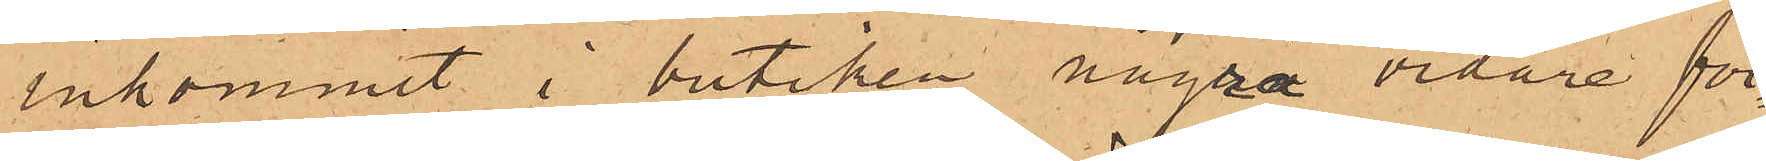inkommit i butiken några vidare för¬
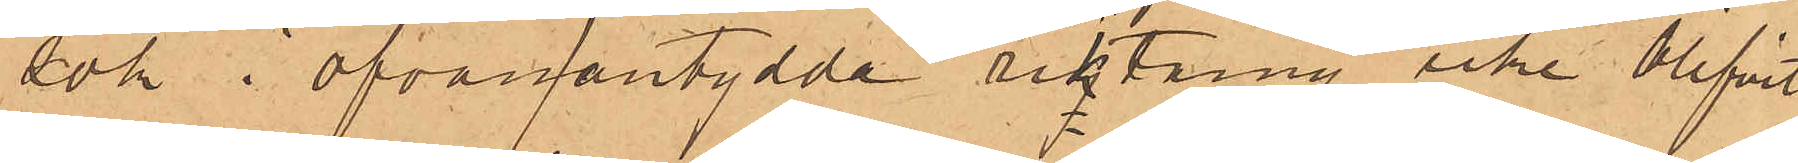sök i ofvanantydda riktning icke blifvit
